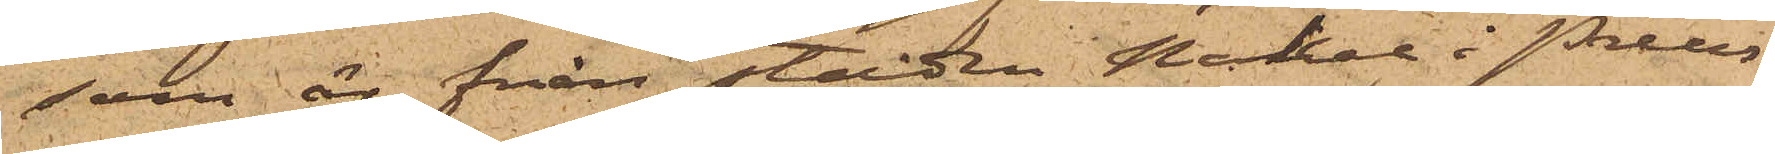som är från staden Nakel i Preus¬
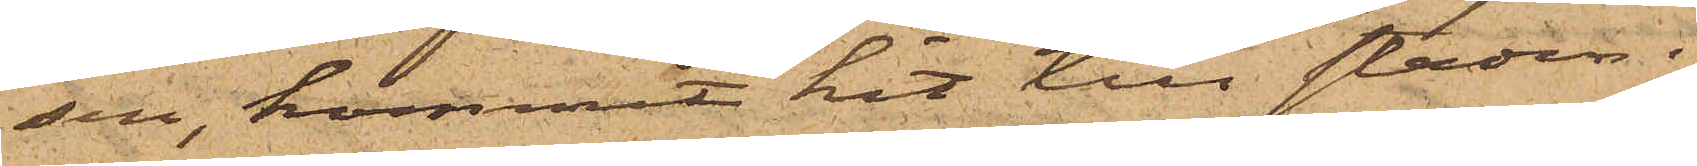sen, kommit hit till staden;
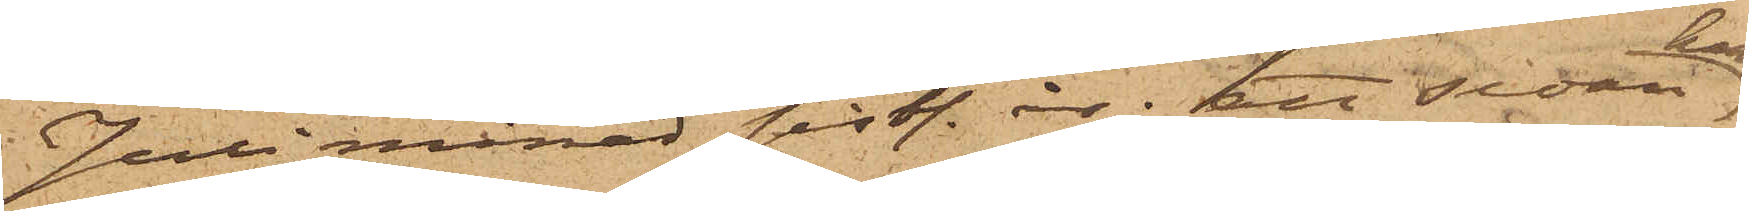Juli månad sistl. år; att sedan
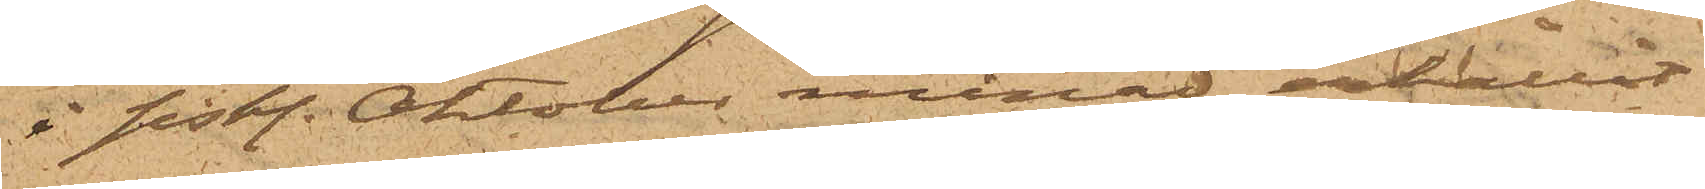i sistl. Oktober månad erhållit
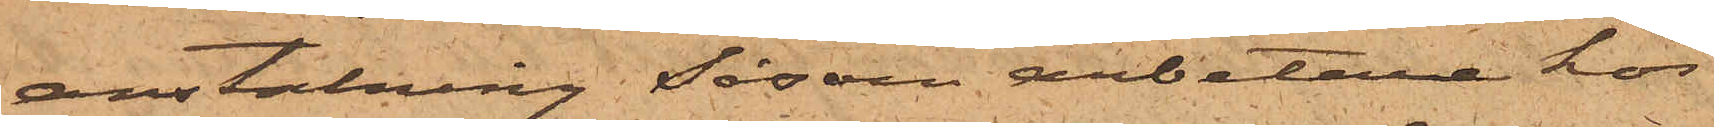anstälning såsom arbetare hos
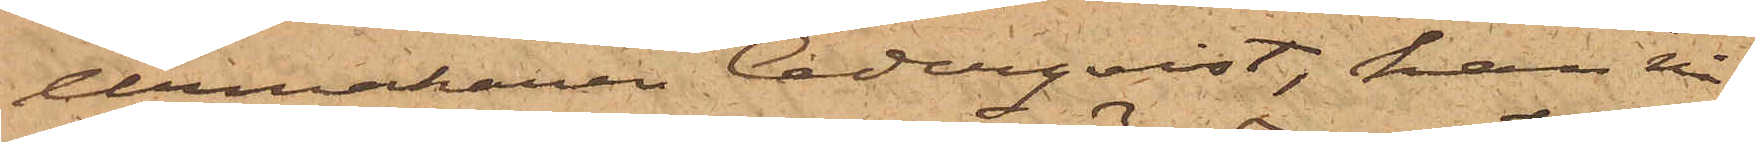Urmakaren Cederqvist, han nå¬
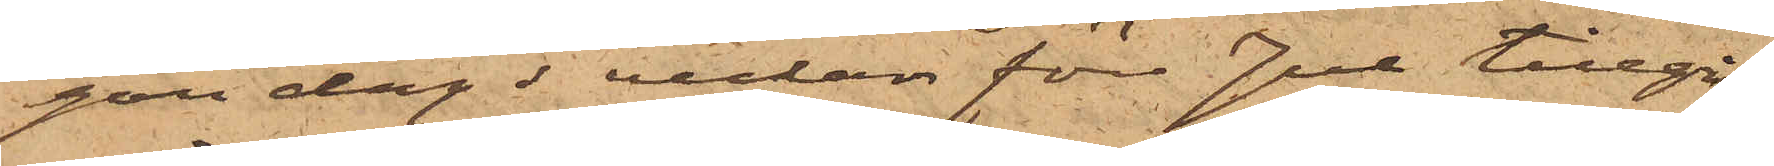gon dag i veckan före Jul tillgri¬
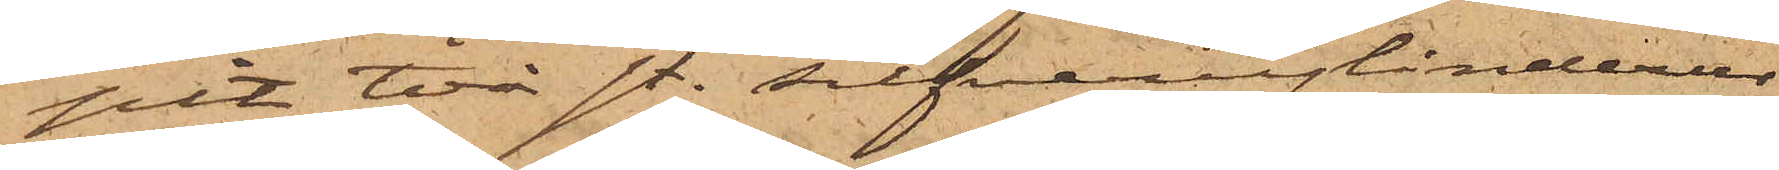pit två st. silfvercylinderur
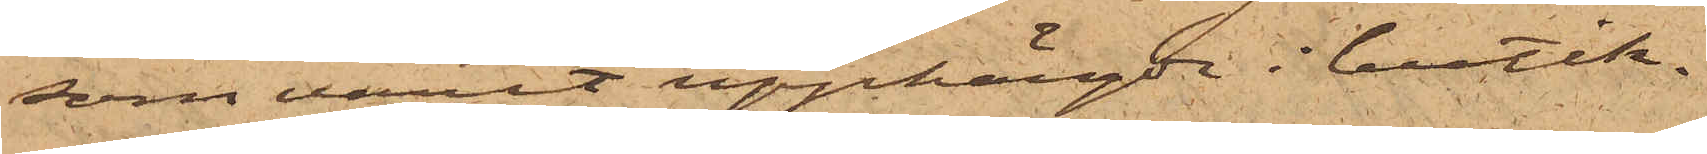som varit upphängde i butik¬
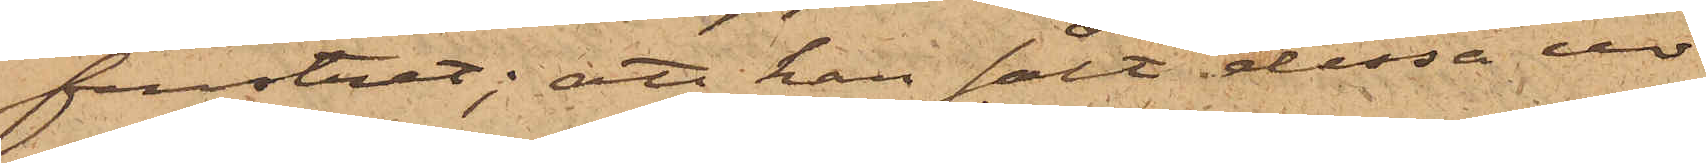fenstret; att han sålt dessa ur
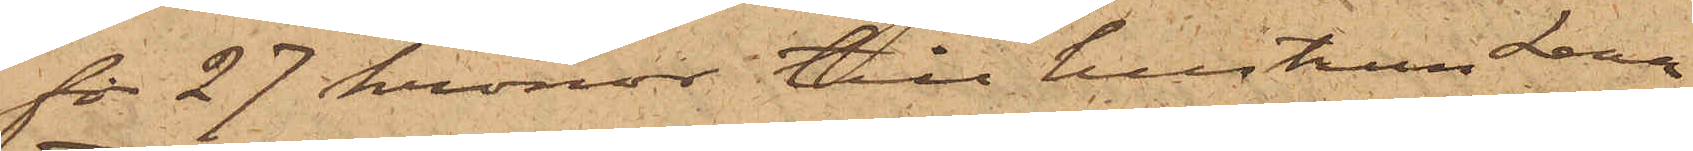för 27 kronor till hustrun Lena
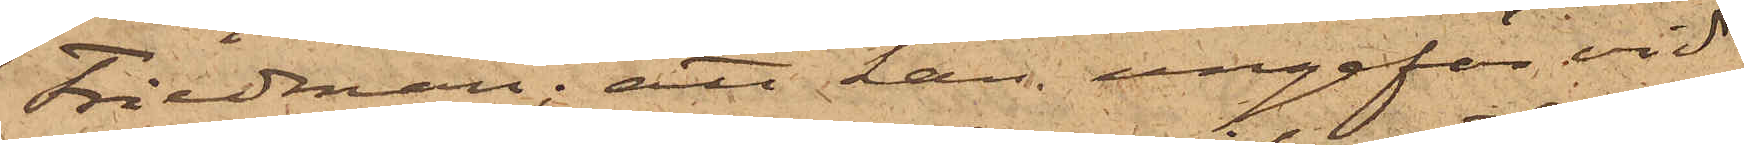Friedman; att han ungefär vid
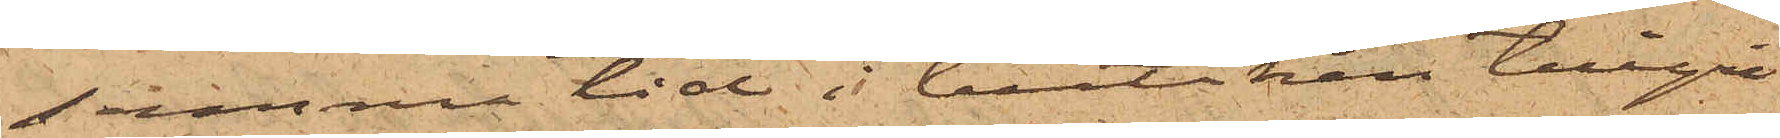samma tid i butiken tillgri¬
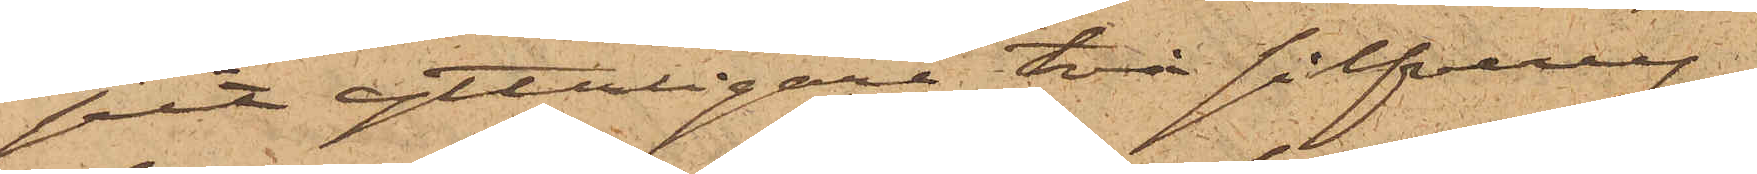pit ytterligare två silfvercy¬
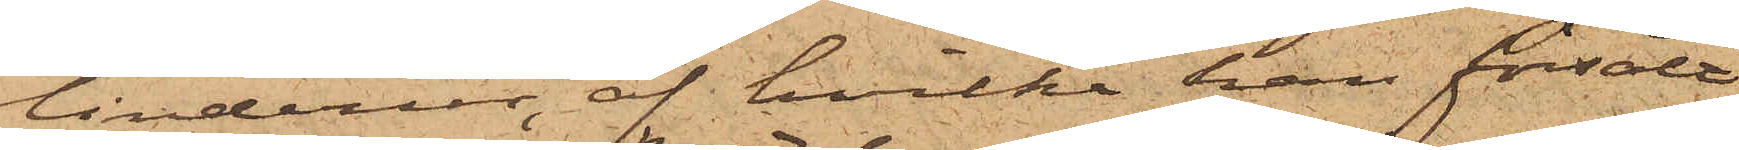linderur, af hvilka han försålt
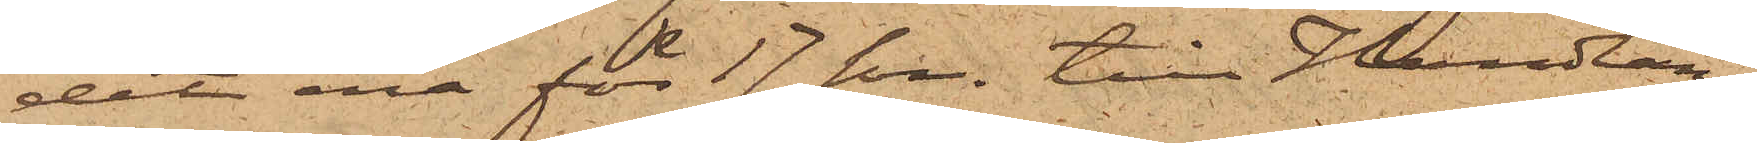det ena för 17 kr. till Handlan¬
